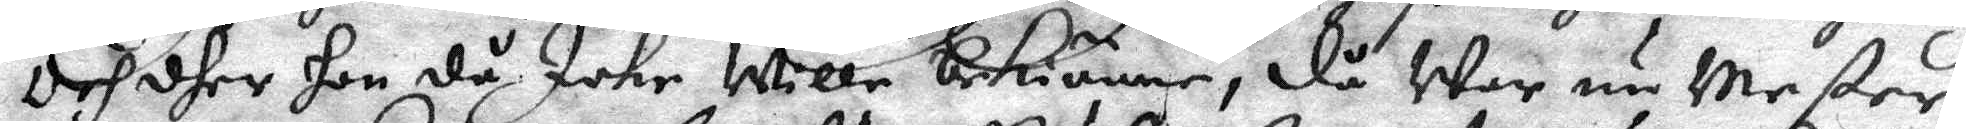Och dher hon då Icke Wille bekiänne, då War nu Mester
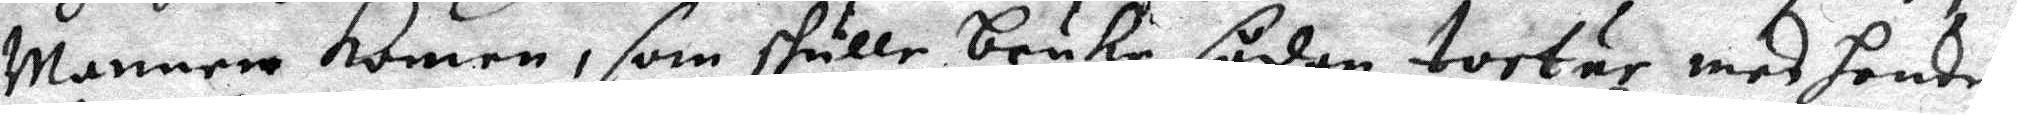Mannen komen, som skulle bruka sådan tortur med hende,
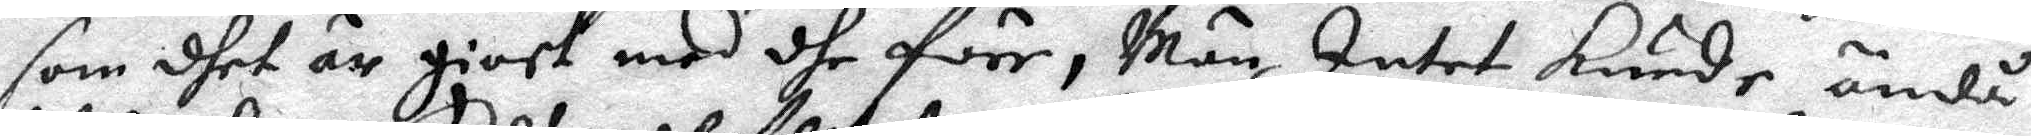som dhet är giort med dhe före, Män Intet kunde ändå
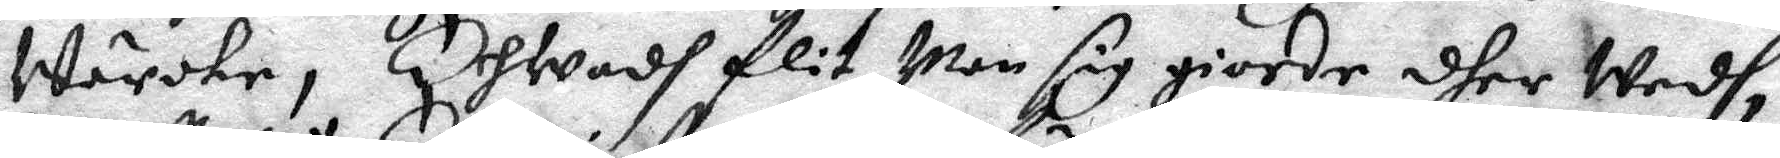wärcke, Erhwadh flit Man sig giorde dher Wedh,
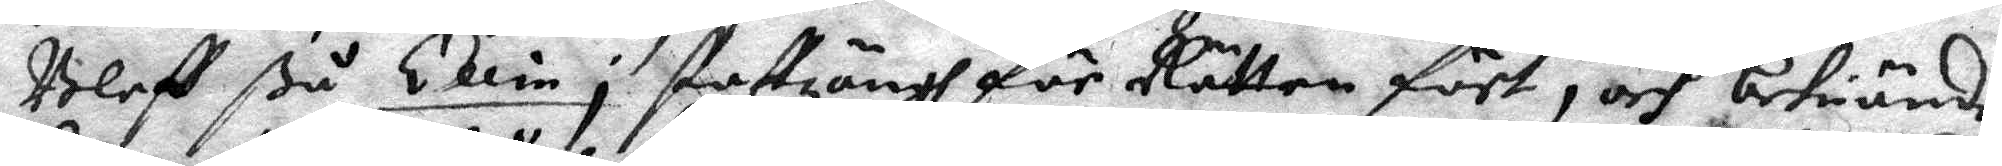Bleff ßå Ellin i staffzängh för Rätten fört, och bekiände
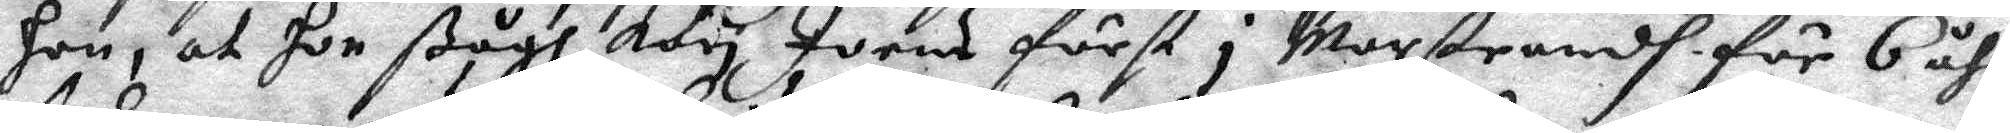Hon, at hon ßågh Kari Joens först i Marstrandh för 6 åhr
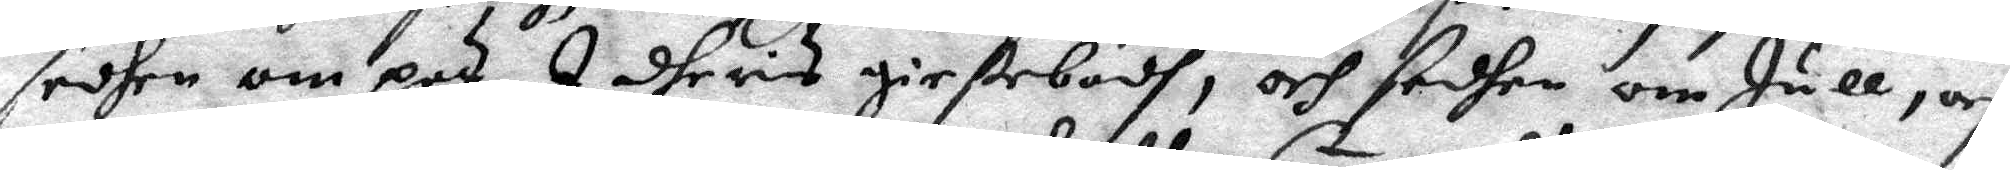sedhen om pad I dheris giestebodh, och sedhen om Jull, och
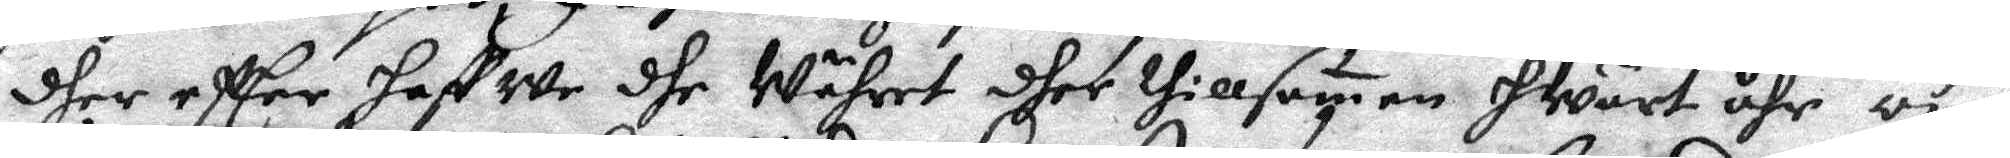dher effter haffwe dhe Währet dher thillsamen hWart åhr om
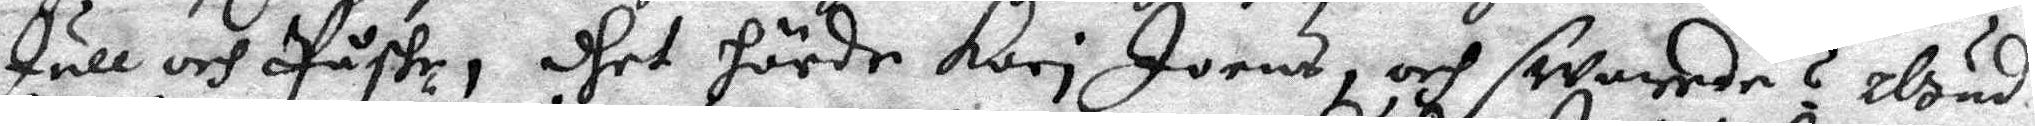Jull och Påste, dhet hörde Kari Joens, och swarades ? Gud
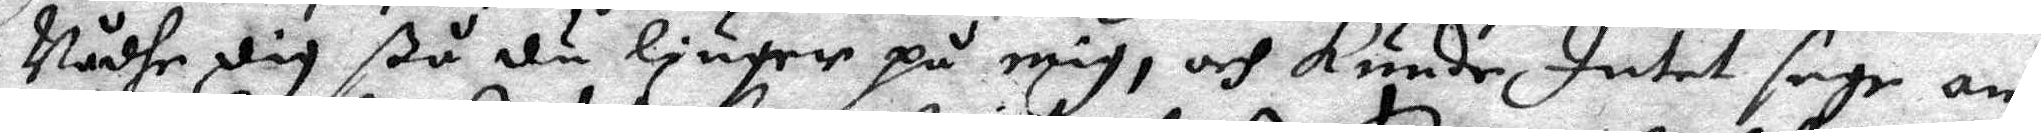Nådhe dig ßå du liuger på mig, och kunde Intet sage an¬
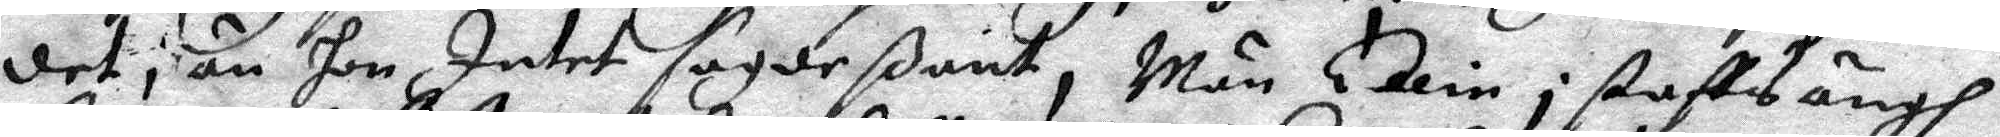det än hon Intet sagde ßant, Män Ellin i staffzängh
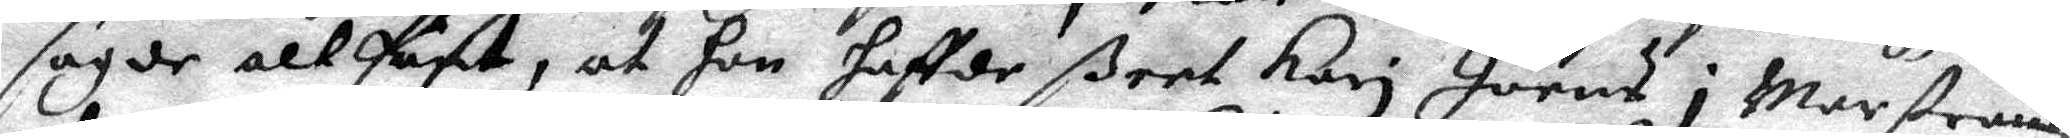sagde alt fast, at hon haffde ßeet Kari Joens i Marstrandz
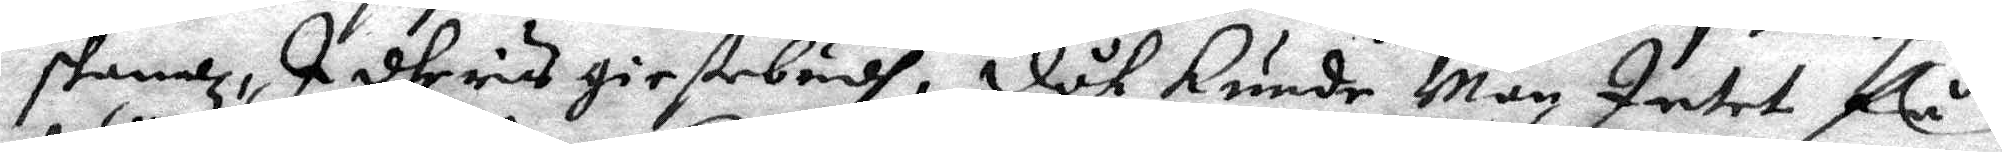skanz, I dheras giestebudh, dåk kunde Man Intet få
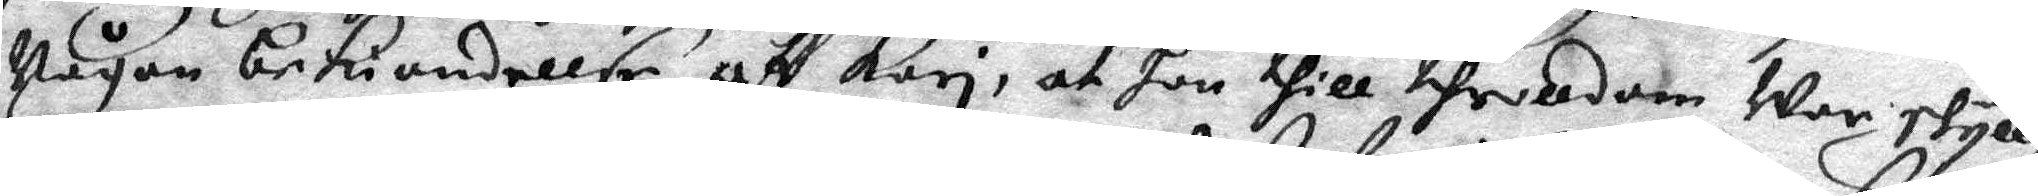någon bekiendellse aff Kari, at hon thill throllldom War skyll¬
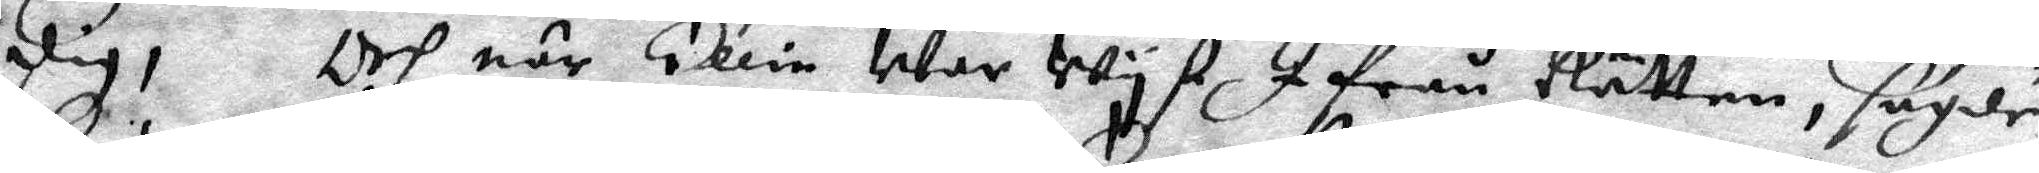dig! Och när Ellin War wyst Ifrån Rätten, sagde
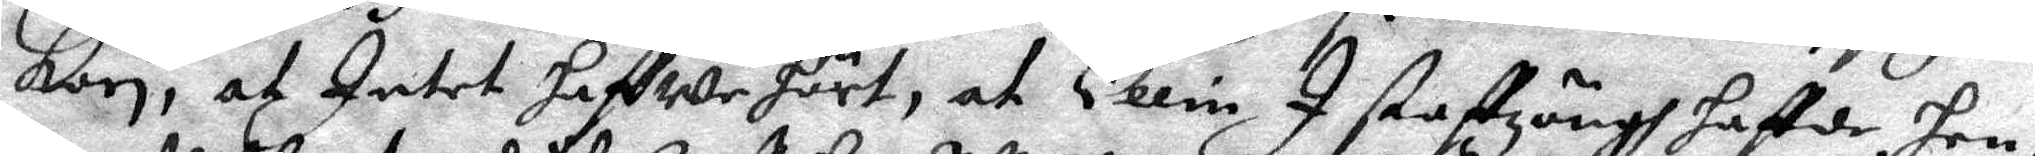kari, at Intet haffwe hört, at Ellin I staffzängh haffde hen¬
